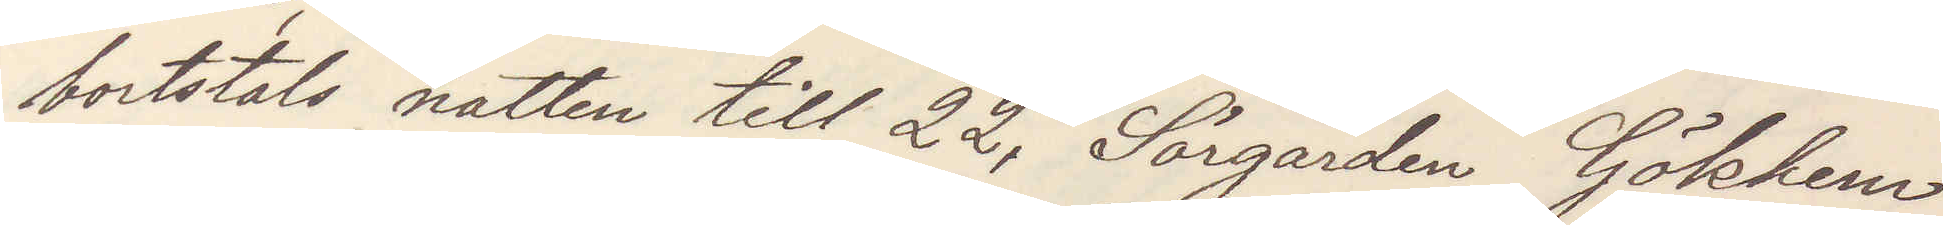bortstals natten till 22, Sörgården Gökhem
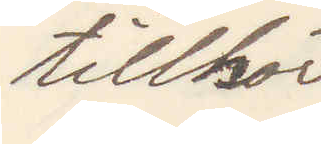tillhör
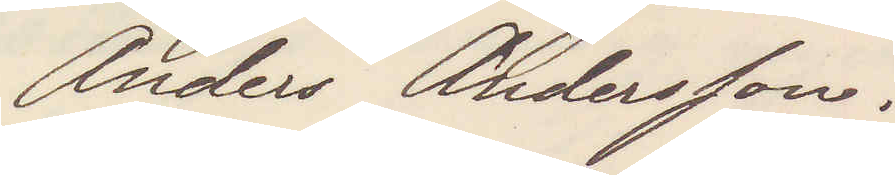Anders Andersson.
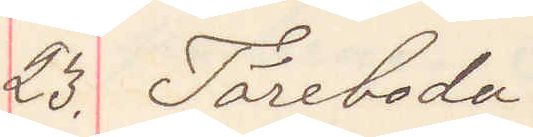23. Töreboda
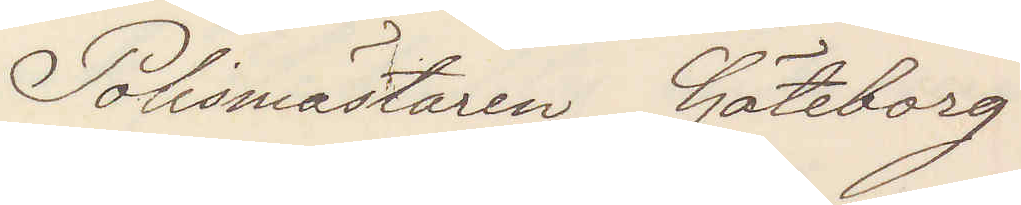Polismästaren Göteborg
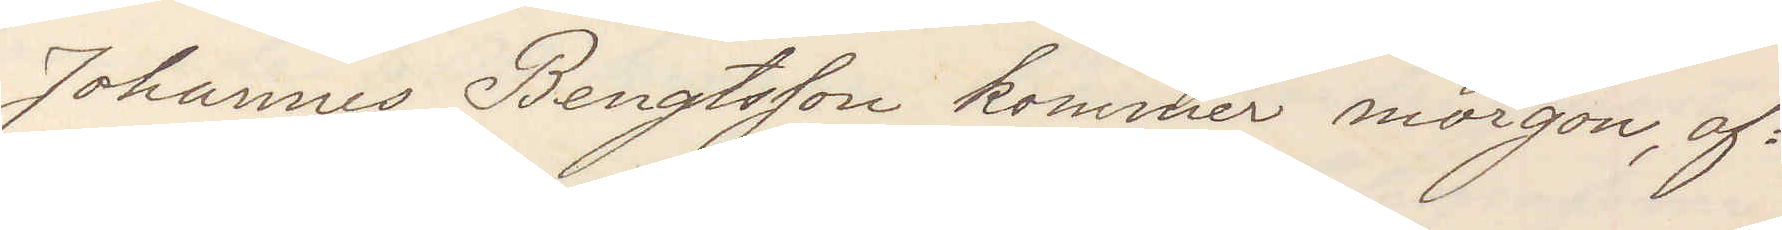Johannes Bengtsson kommer morgon, af¬
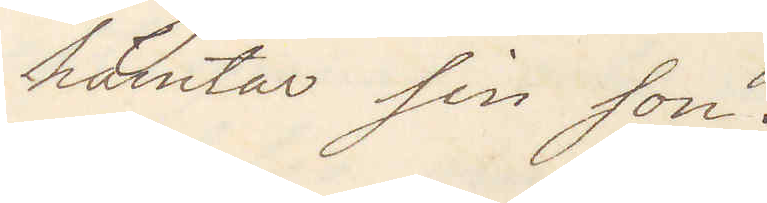hämtar sin son.
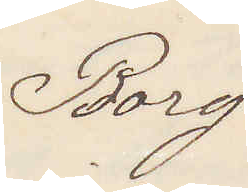Borg.
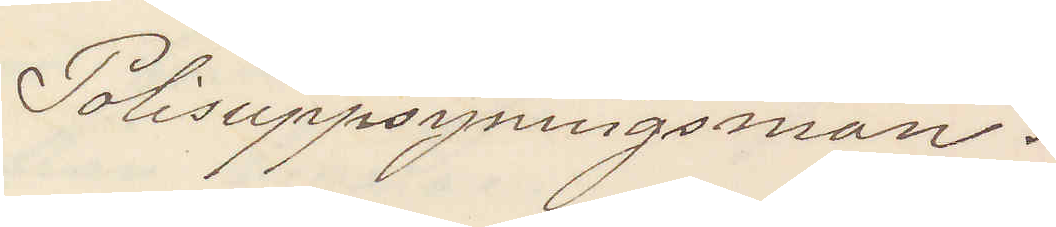Polisuppsyningsman.
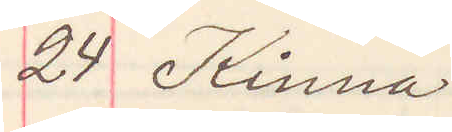24 Kinna
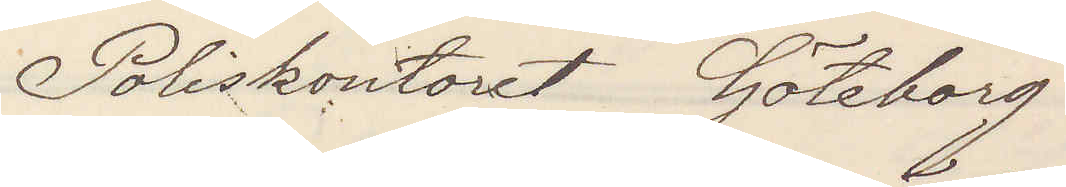Poliskontoret Göteborg
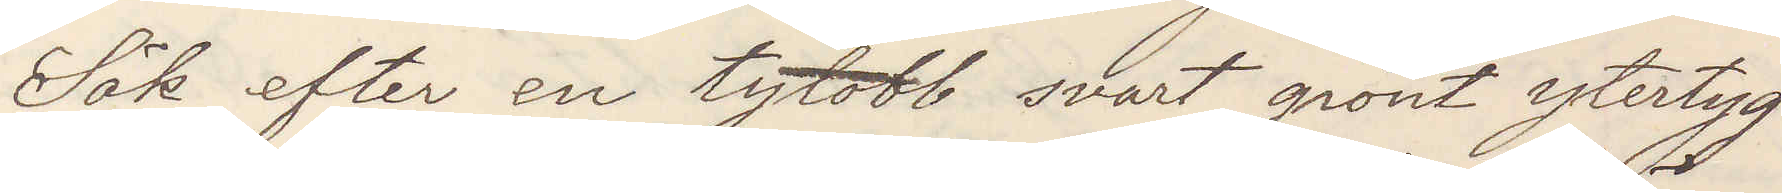Sök efter en tylobb svart grönt ytertyg
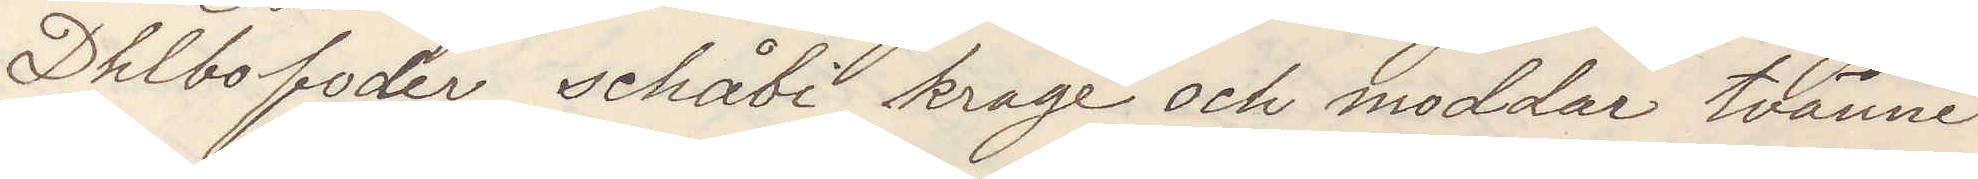Dhlbofoder schåbi krage och moddar tvänne
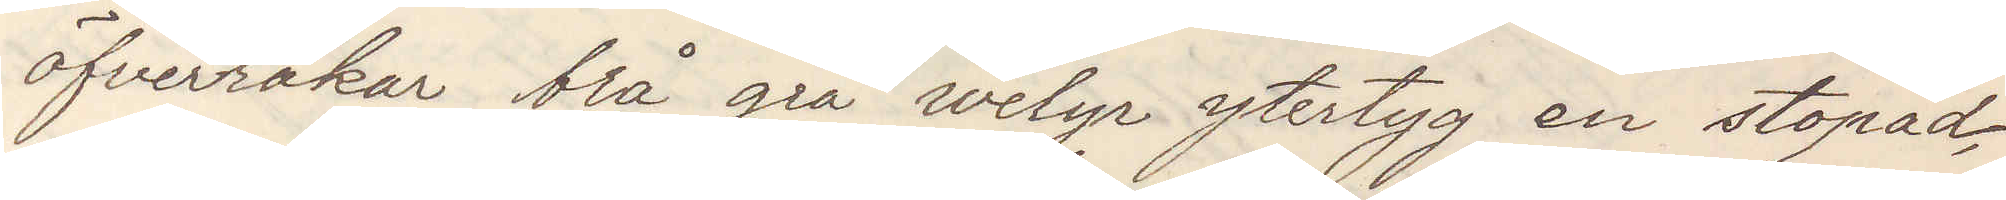öfverråkar blå grå welyr ytertyg en stopad
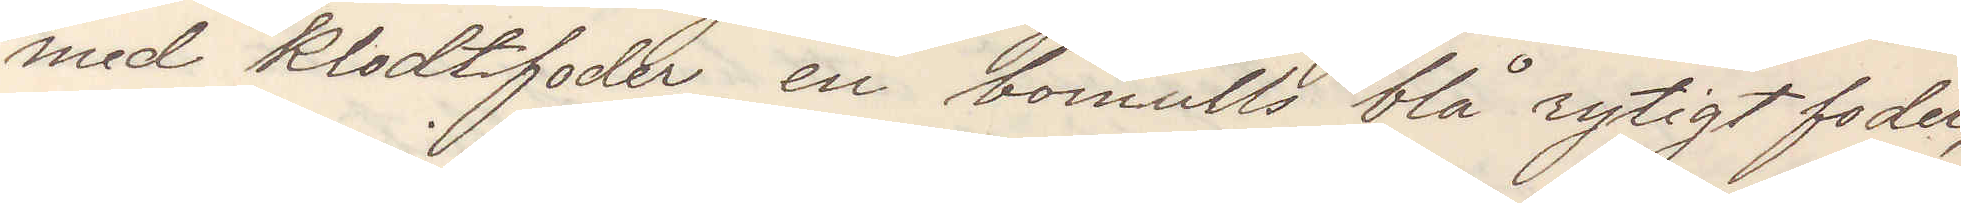med klodtfoder, en bomulls blå rytigt foder,
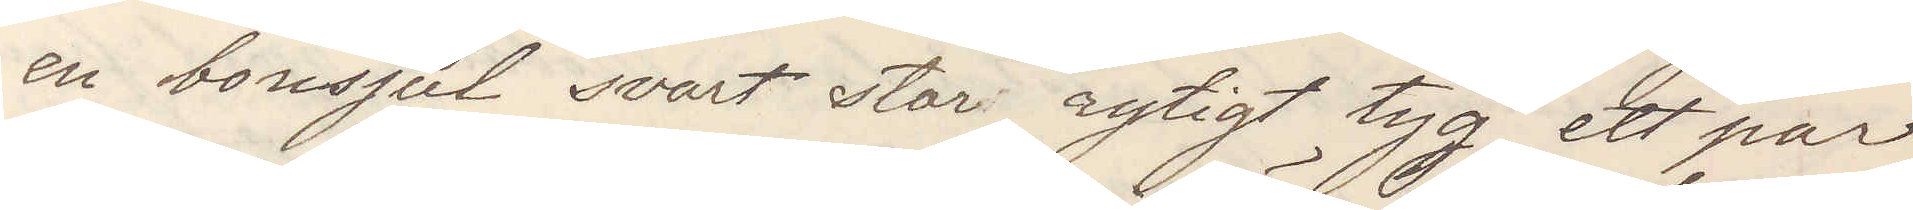en bonsjul svart stor rytigt tyg, ett par
